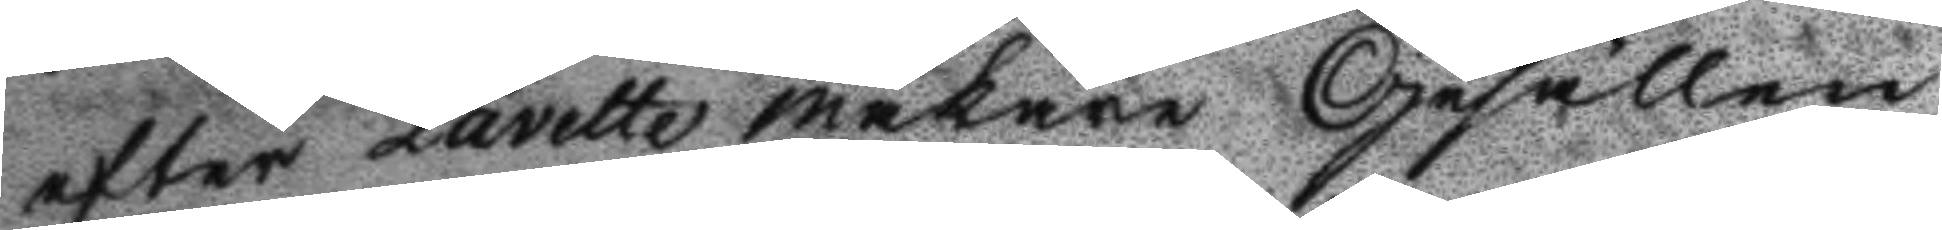efter Lavette makare Gesällen
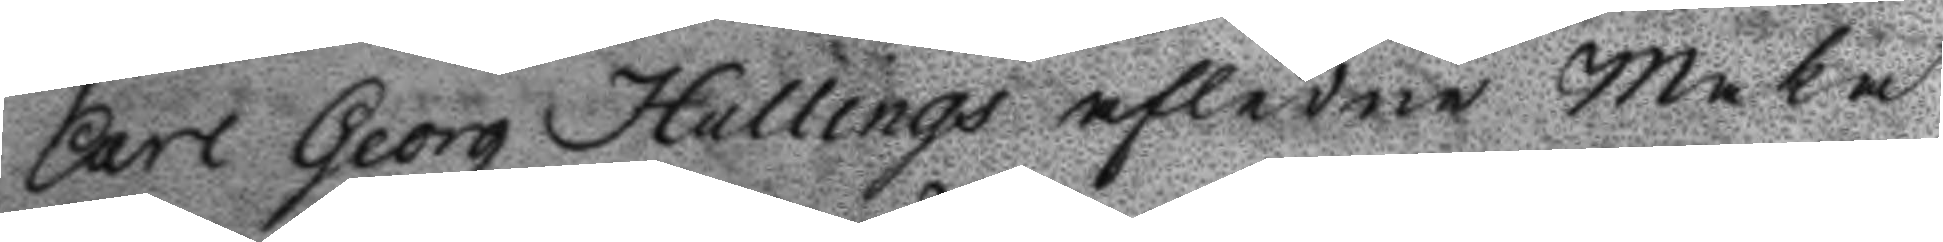Carl Georg Hallings afledne Maka
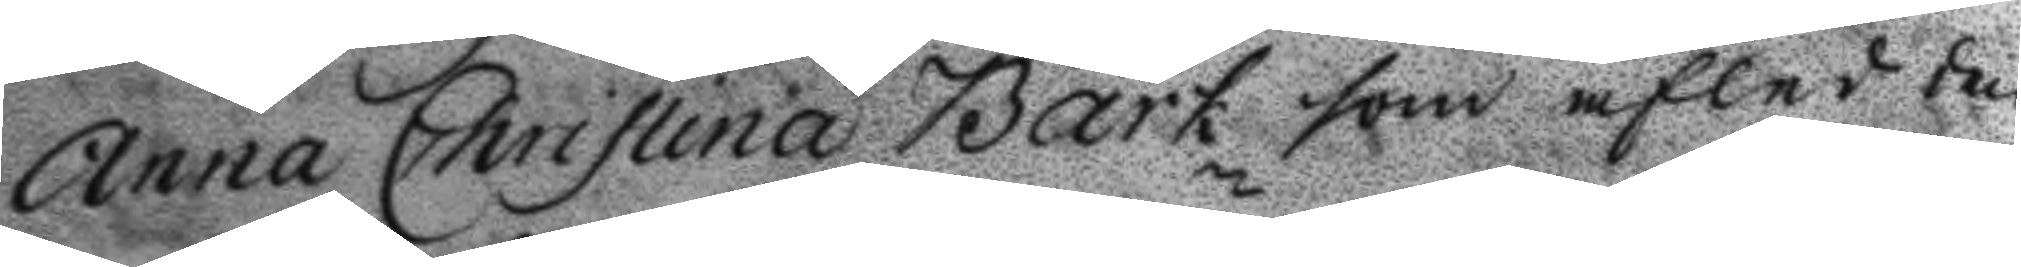Anna Christina Bark som afled den
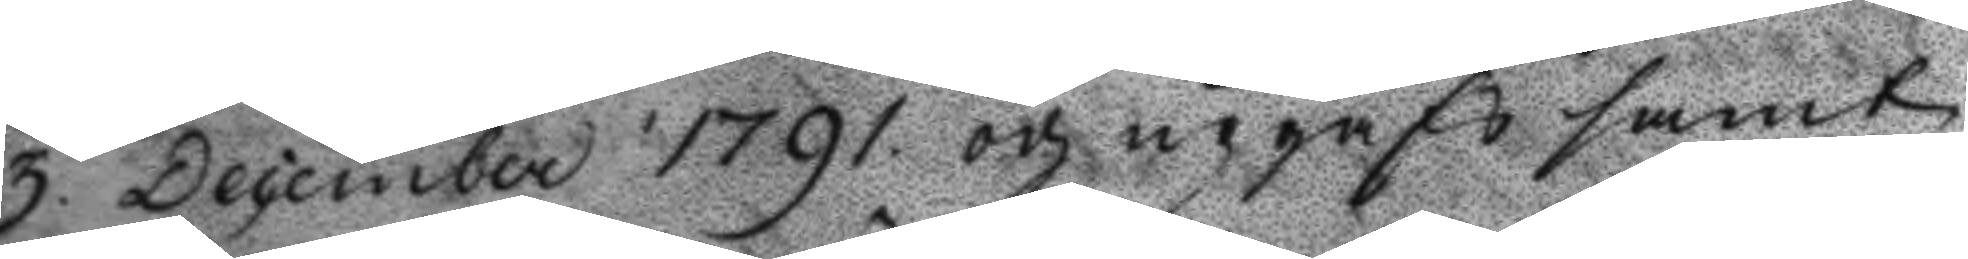3 December 1791 och upgafs samt
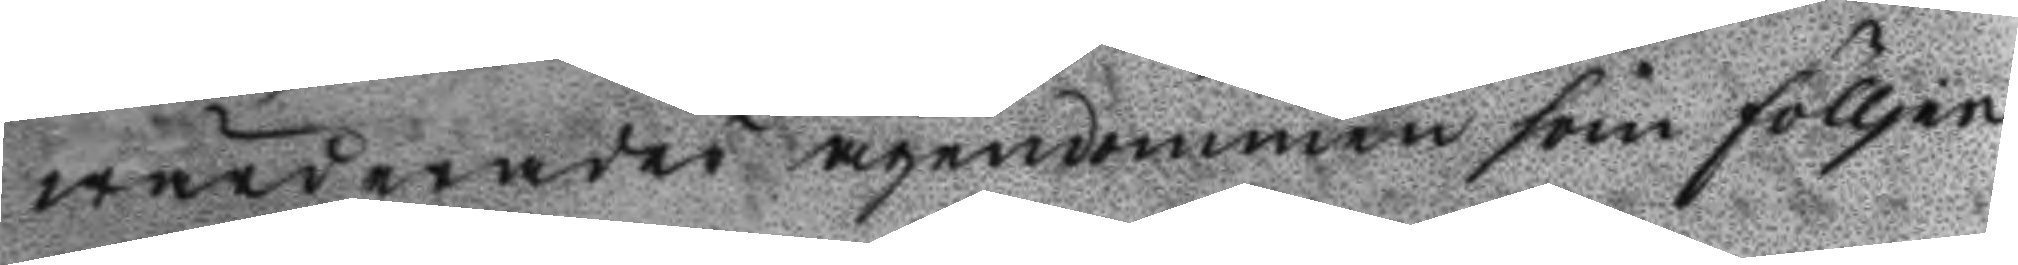wärderades ägendommen som fölljer
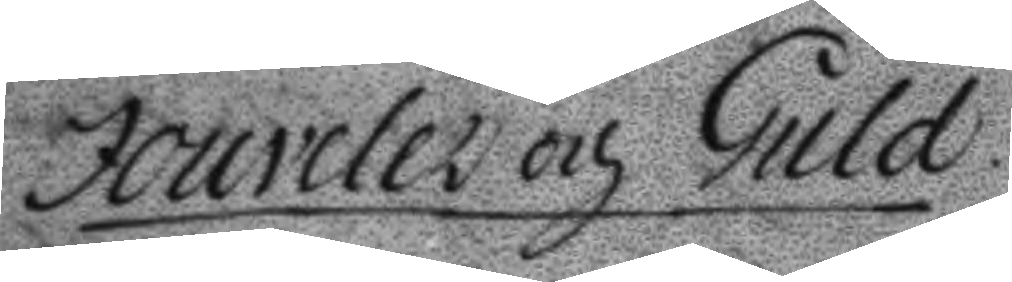Jouveler och Guld
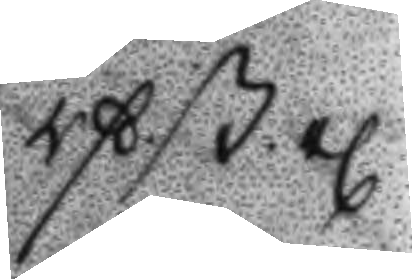rß.ß.rl
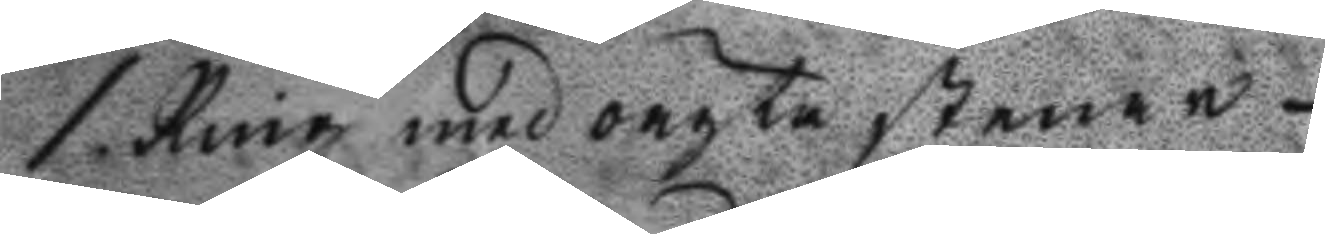1. Ring med oägta stenar 24
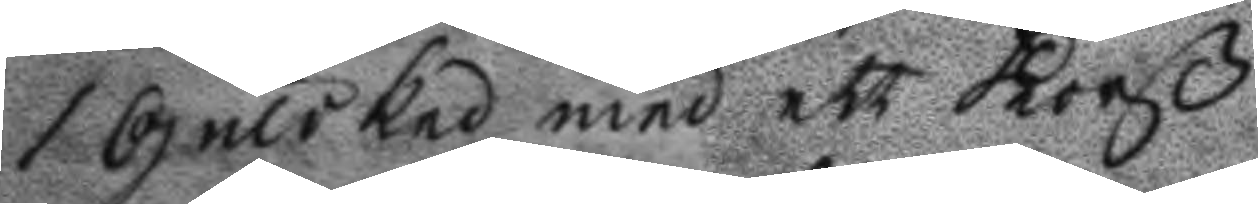i Guldked med ett Korß
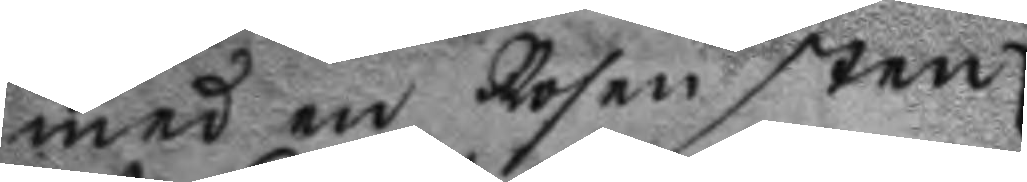med en Rosensten
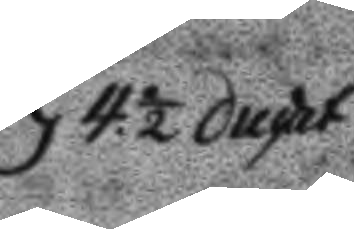4½ ducat
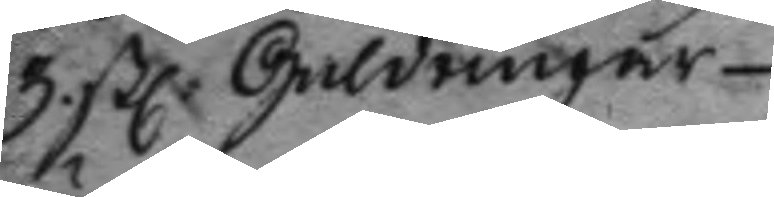3 stl. Guldringar
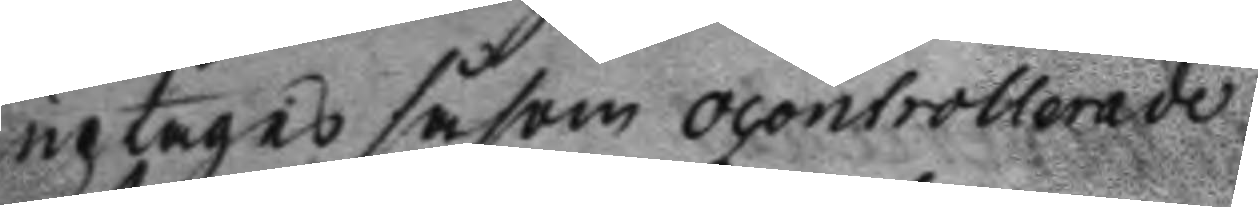uptages såsom ocontrollerade
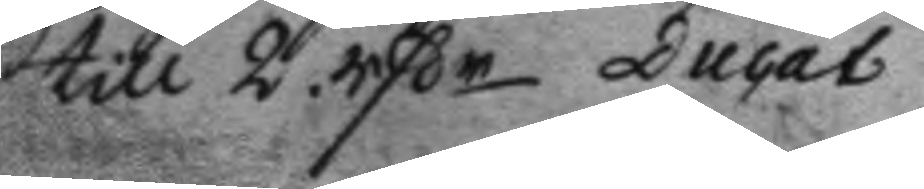till 2 rßr Ducat
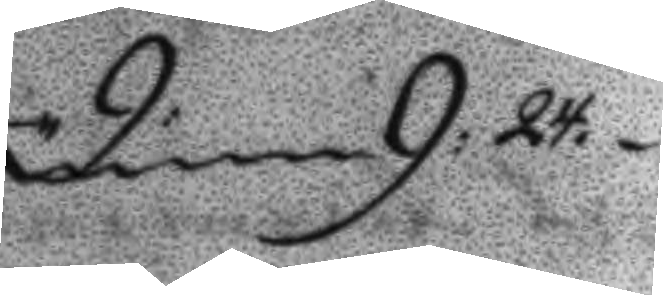dem 9:24.
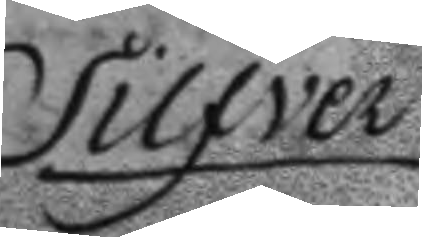Silfver
